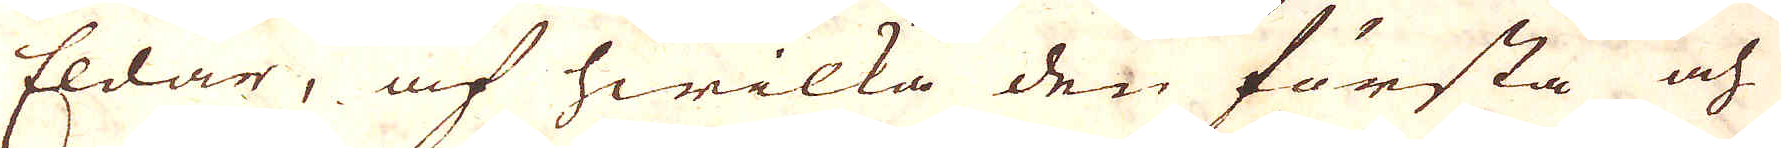Eldar, af hwilka den första och
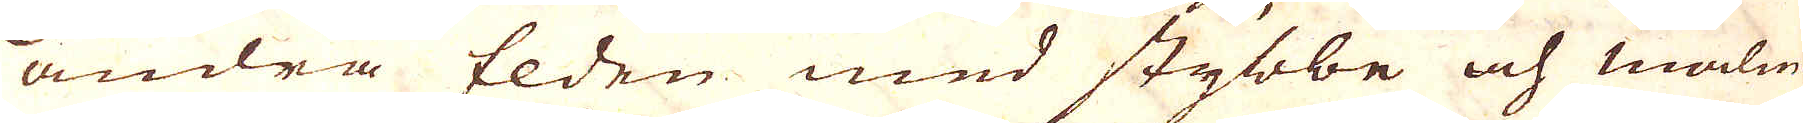andra Elden med stybbe och malm
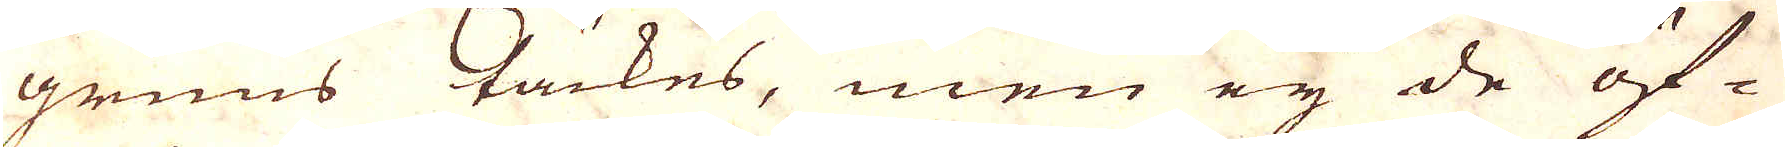gruus täckes, men ey de öf
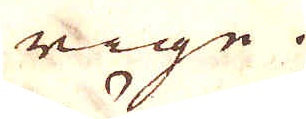rige.
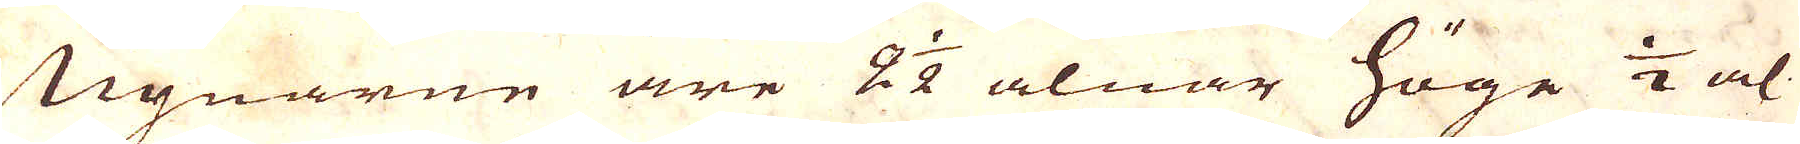Ugnarne äre 2 1/2 alnar höge 1/2 al
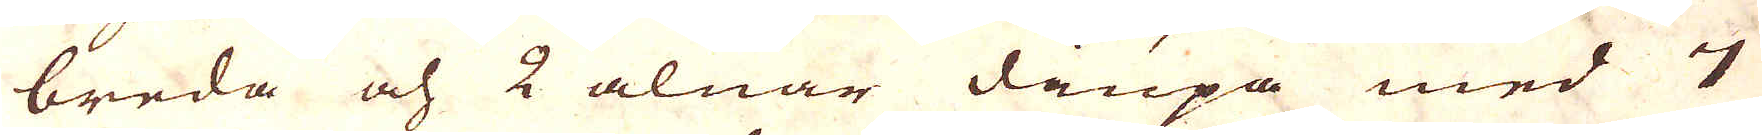breda och 2 alnar diupa med 7
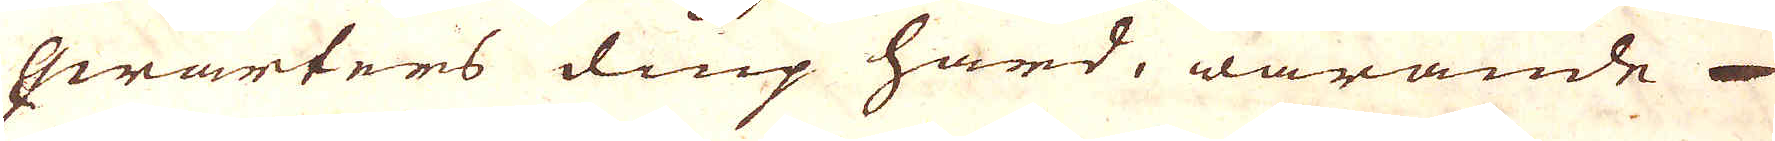qwarters diup härd, warande 
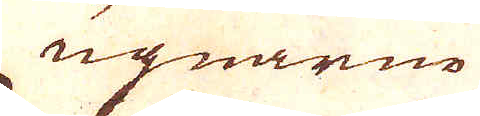ugnarne
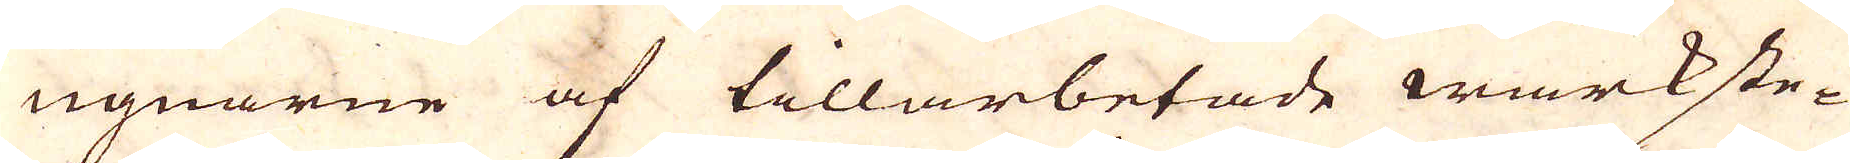ugnarne af tillarbetade wärkste-
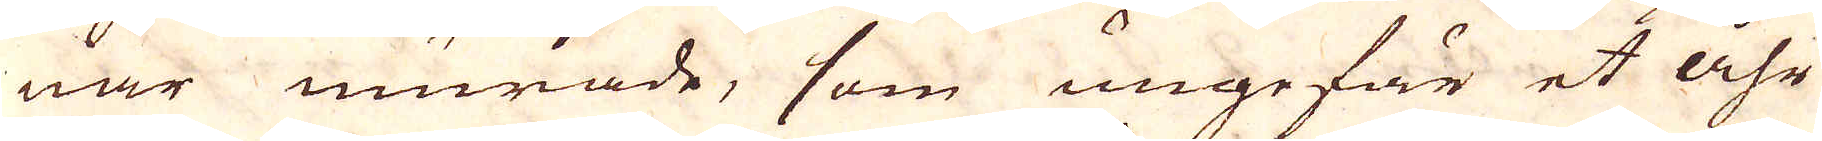nar murade, som ungefär et åhr
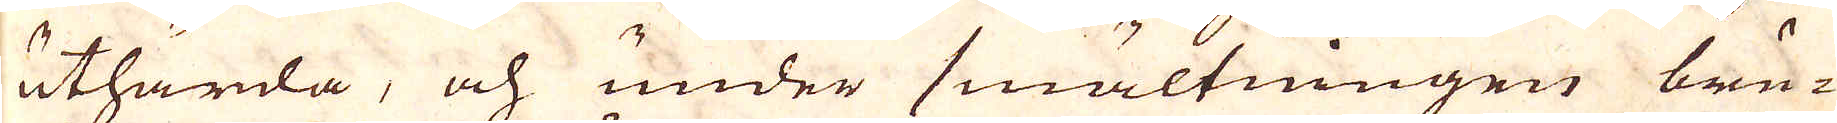uthärda, och under smältningen bru-
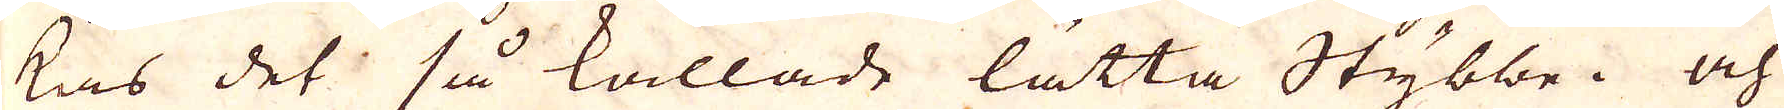kas det så kallade lätta Stybbe. och
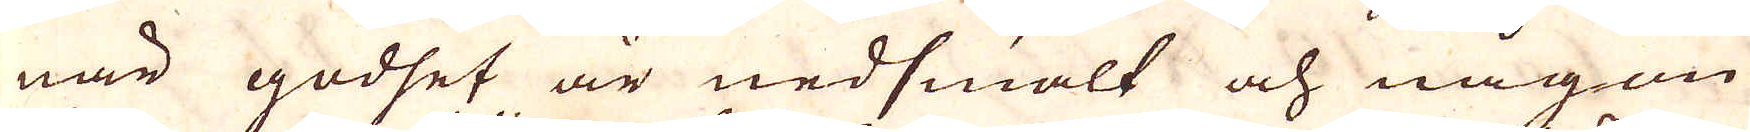när godset är nedsmält och någon
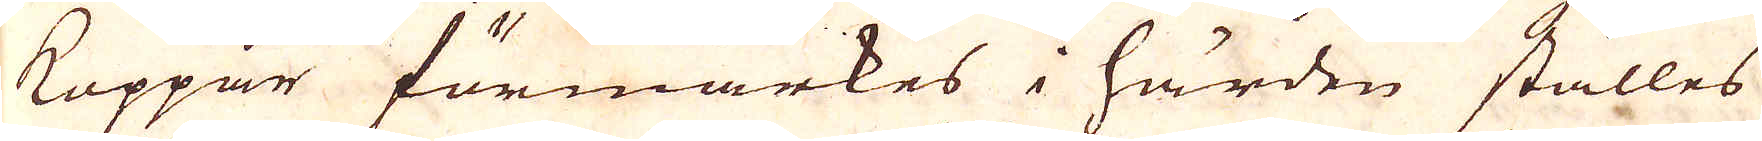Koppar förmärkes i härden ställes
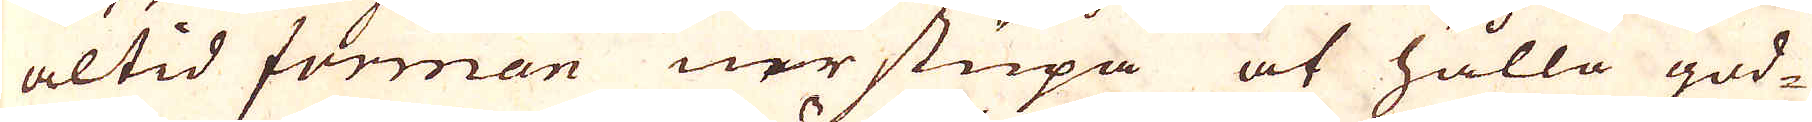altid forman nerstupa at hålla god-
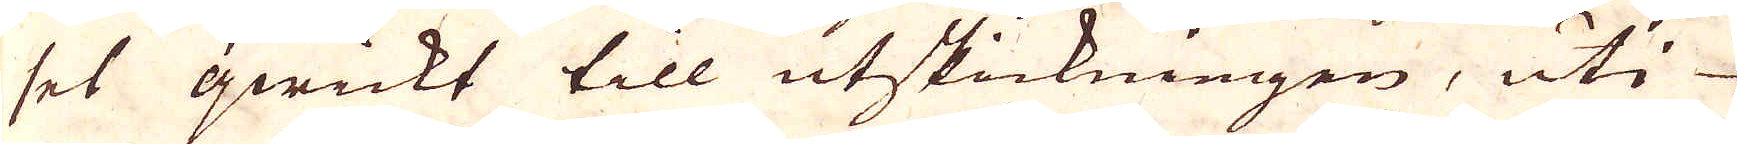set qwickt till utskickningen, uti
